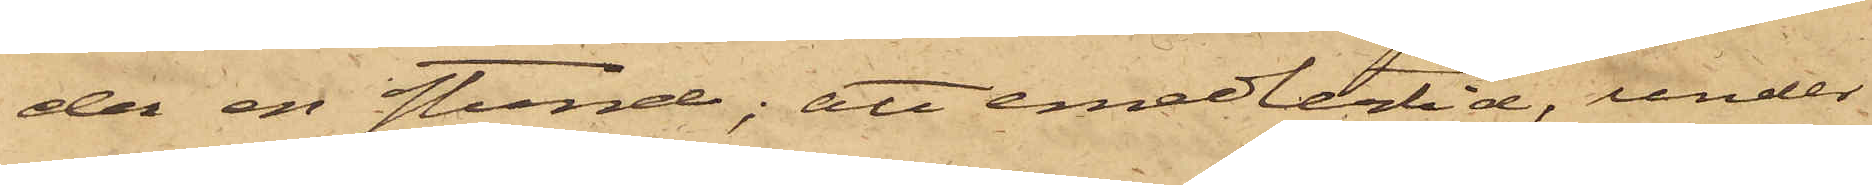der en stund; att emedlertid, under
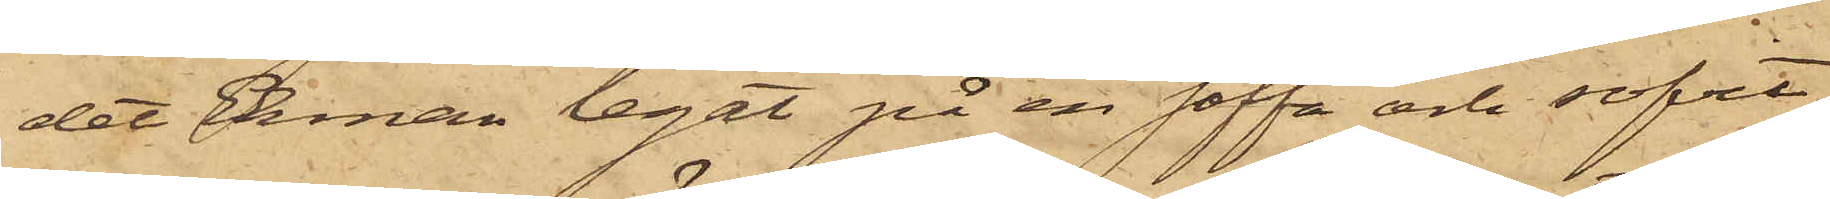det Ekman legat på en soffa och sofvit,
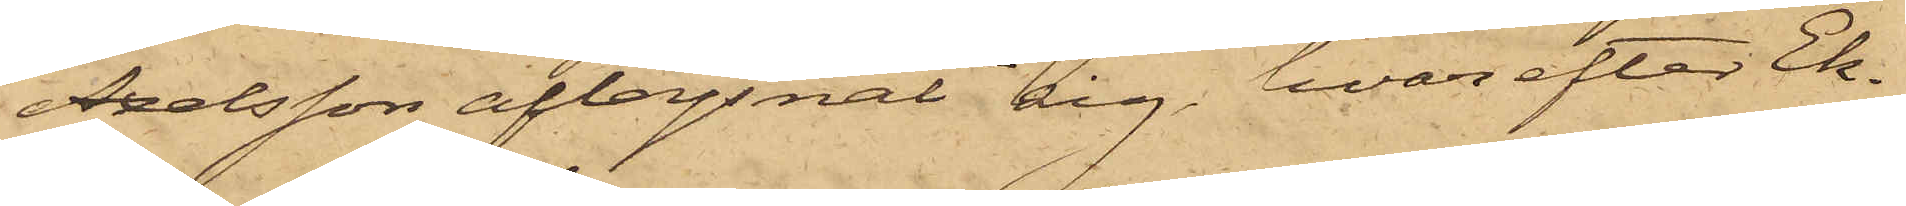Axelsson aflägsnat sig, hvarefter Ek¬
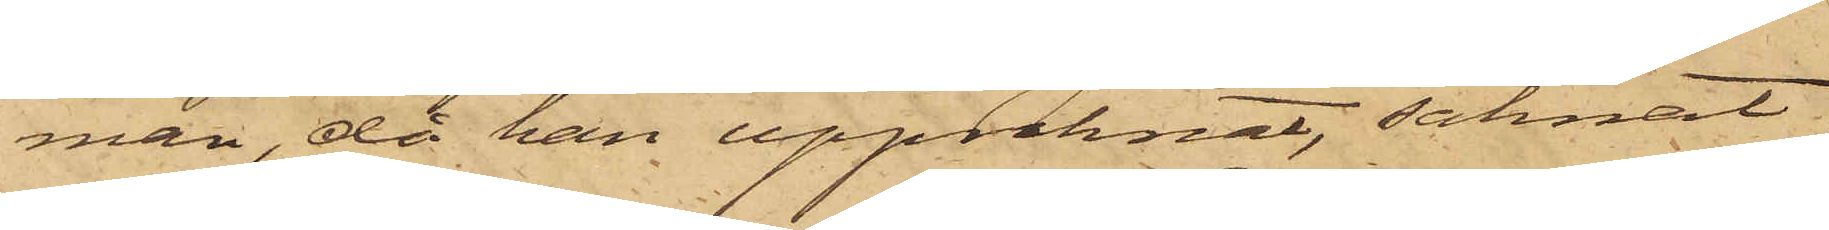man, då han uppvaknat, saknat
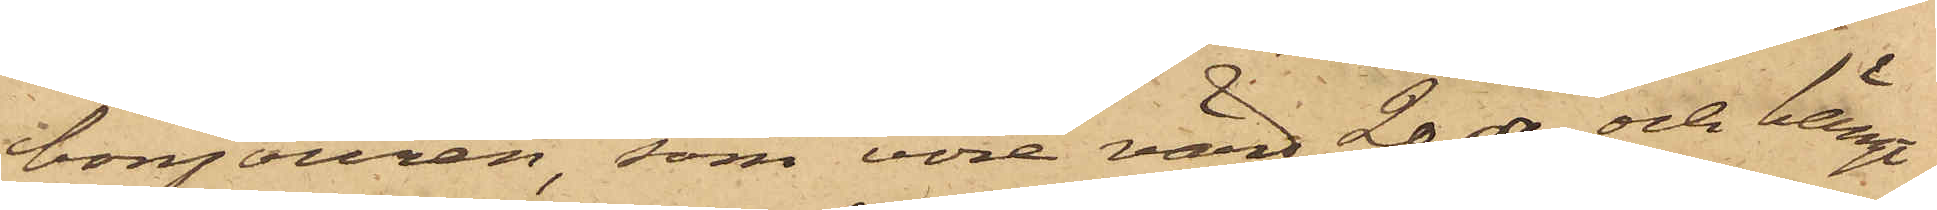bonjouren, som vore värd 20 rdr och hängt
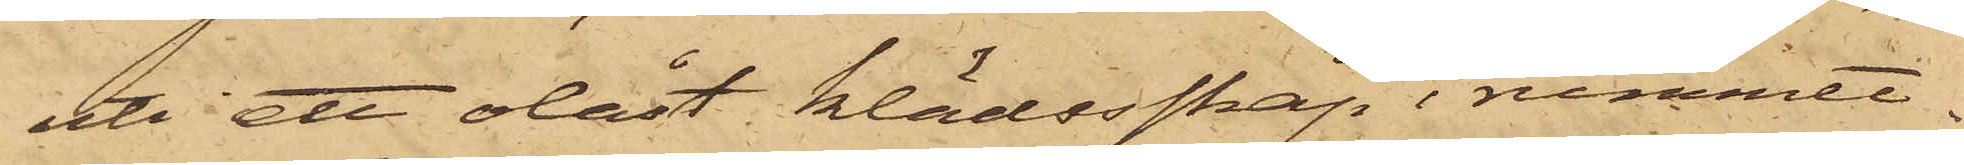uti ett olåst klädesskåp i rummet.
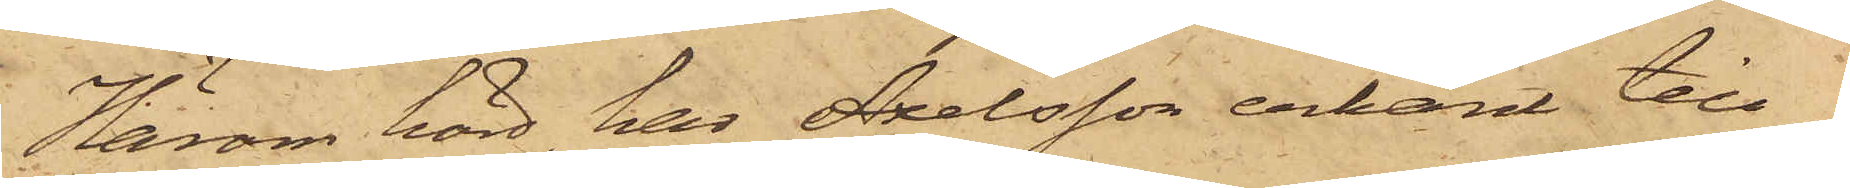Härom hörd, har Axelsson erkänt till¬
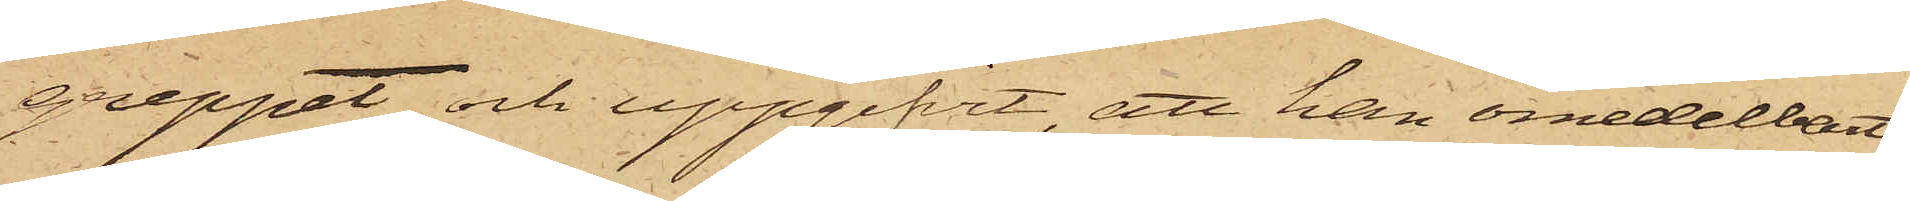greppet och uppgifvit, att han omedelbart
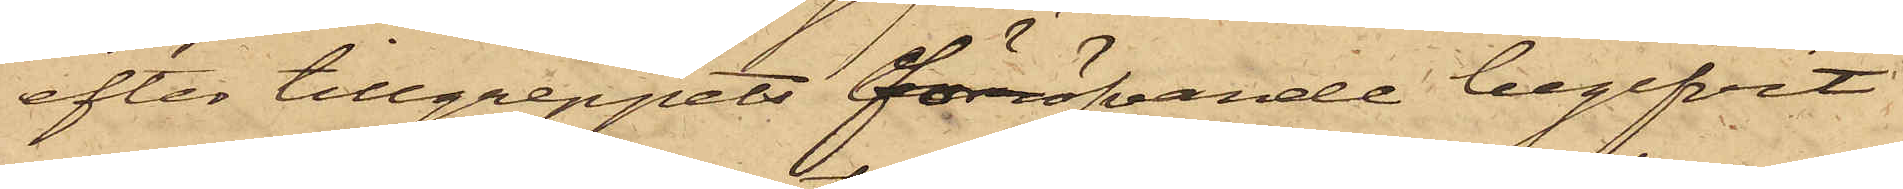efter tillgreppets föröfvande begifvit
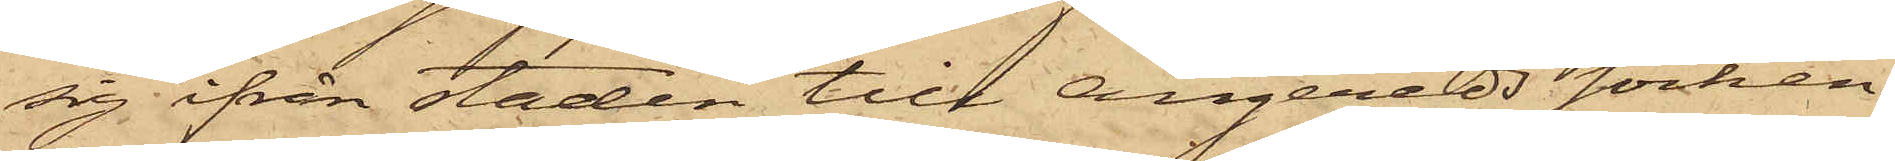sig ifrån staden till Angereds socken,
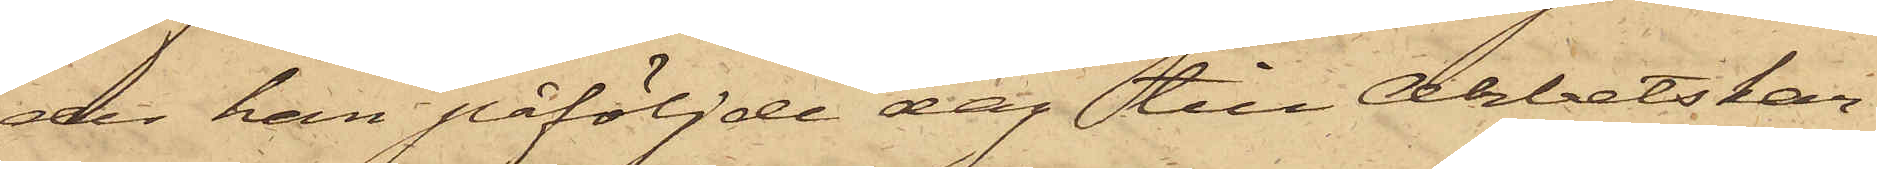der han påföljde dag till Arbetskar¬
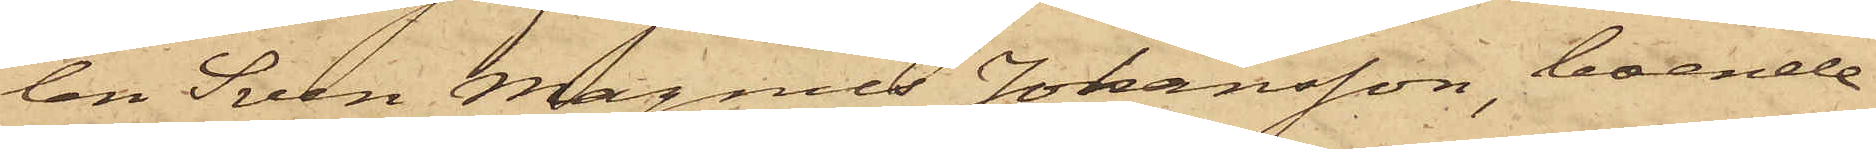len Sven Magnus Johansson, boende
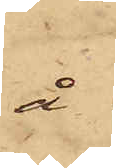å
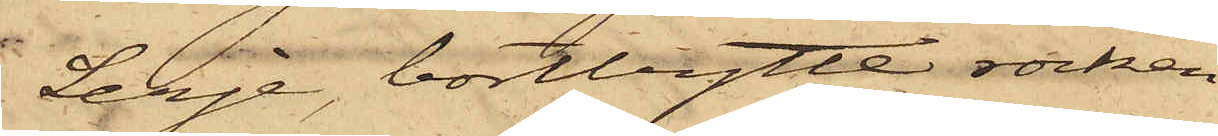Lerje, bortbytt rocken
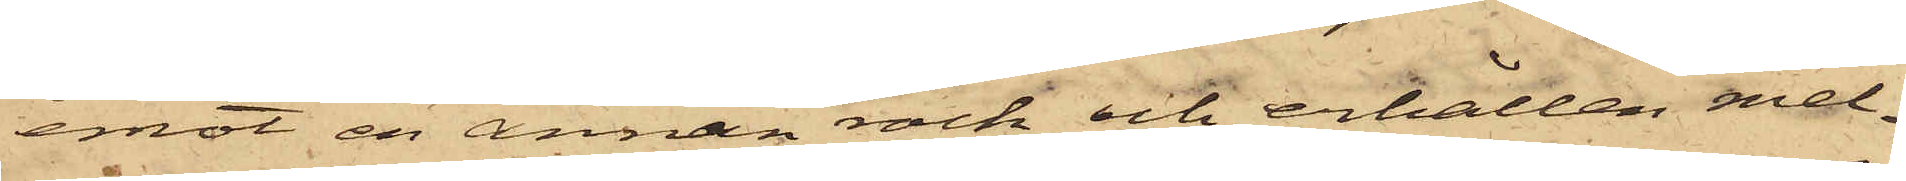emot en annan rock och erhållen mel¬
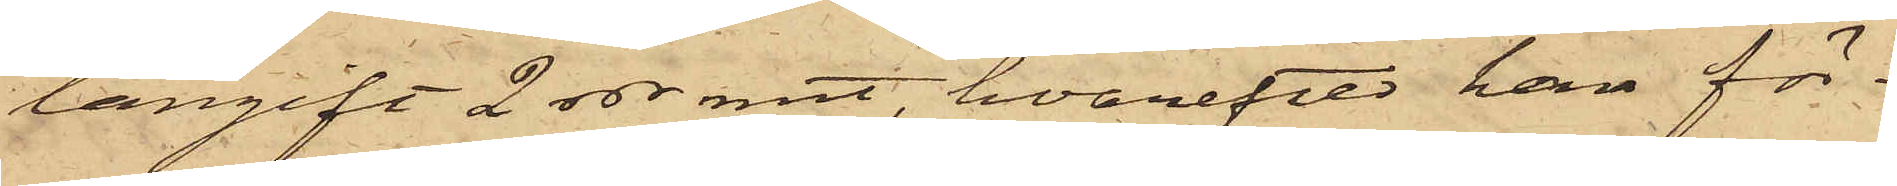langift 2 rdr rmt, hvarefter han för¬
